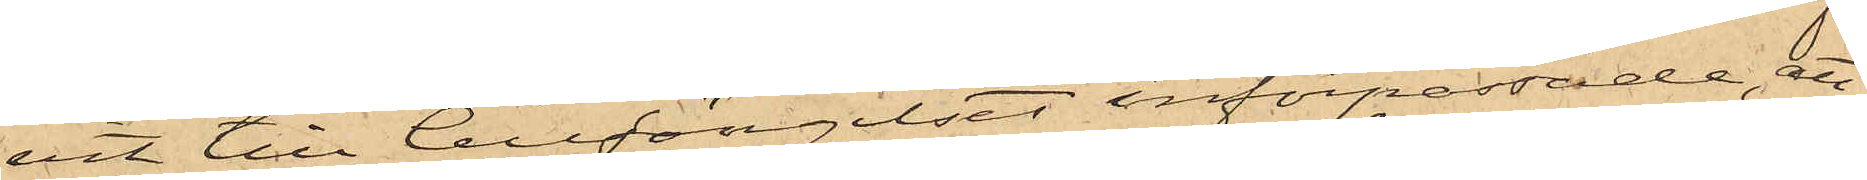vit till Cellfängelset införpassade, att
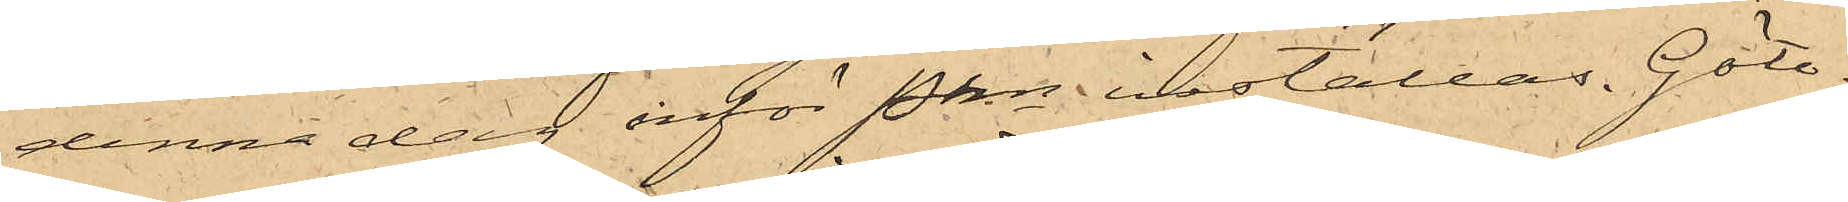denna dag inför Pkn inställas. Göte¬
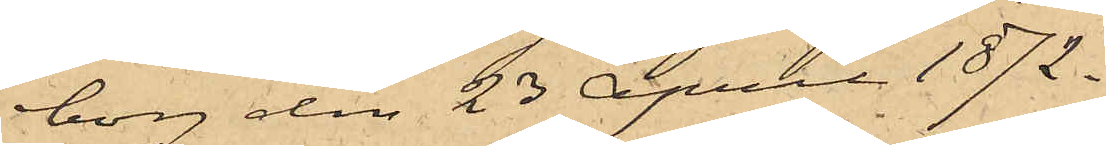borg den 23 April 1872.
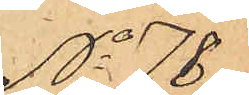No 78
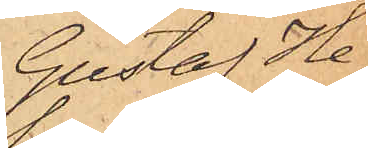Gustaf He¬
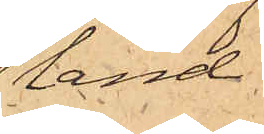land
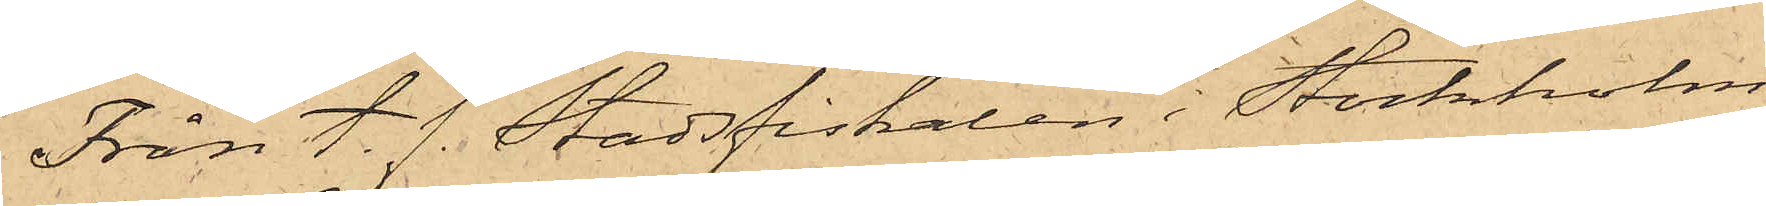Från t. f. Stadsfiskalen i Stockholm
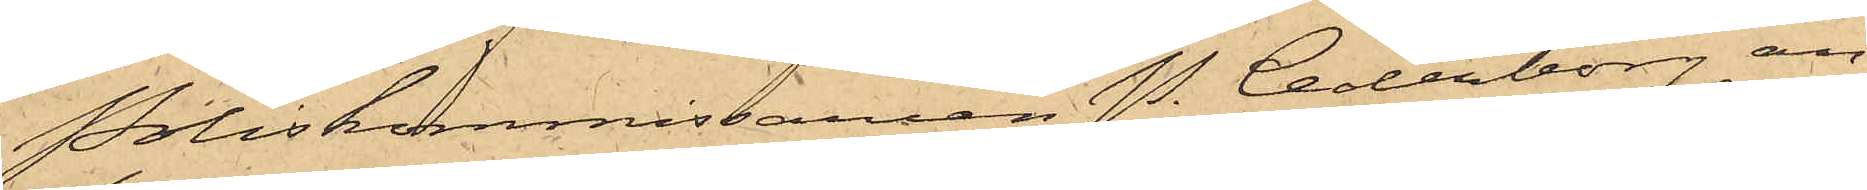Poliskommissaren P. Cederborg an¬
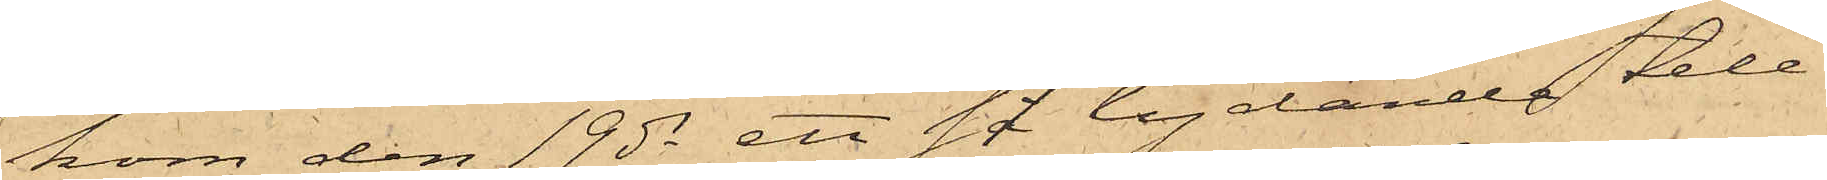kom den 19 ds ett så lydande tele¬
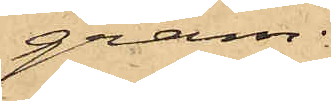gram:
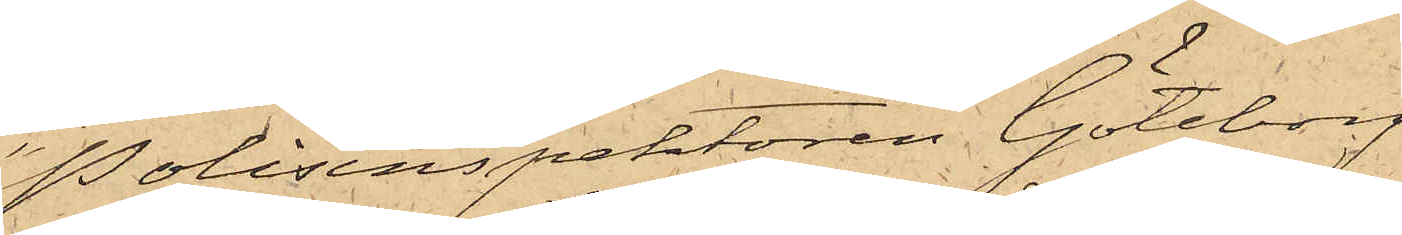"Polisinspektoren Göteborg
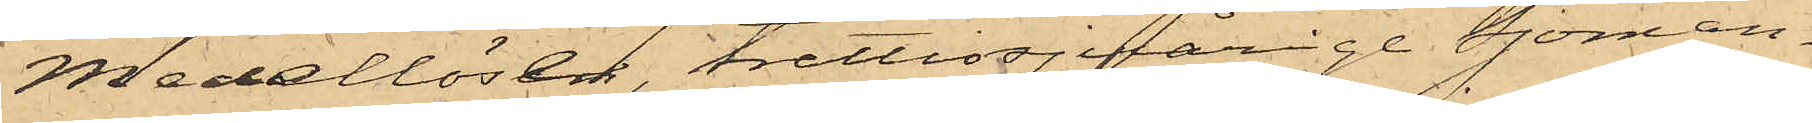Medellöse, trettiosjuårige sjöman¬
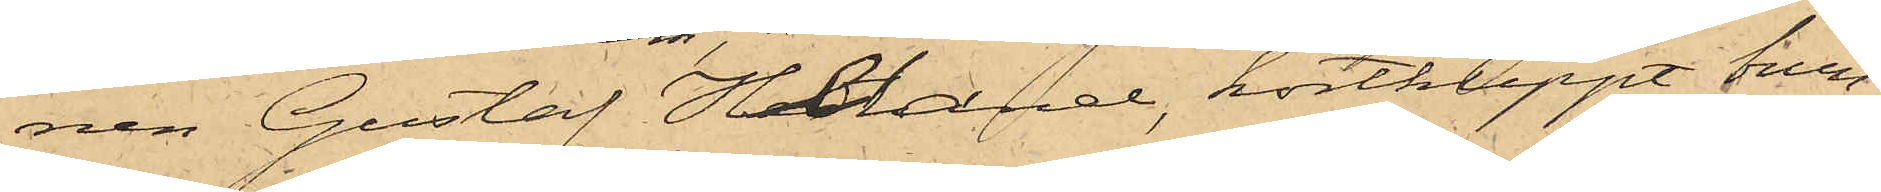nen Gustaf Heland, kortklippt brun¬
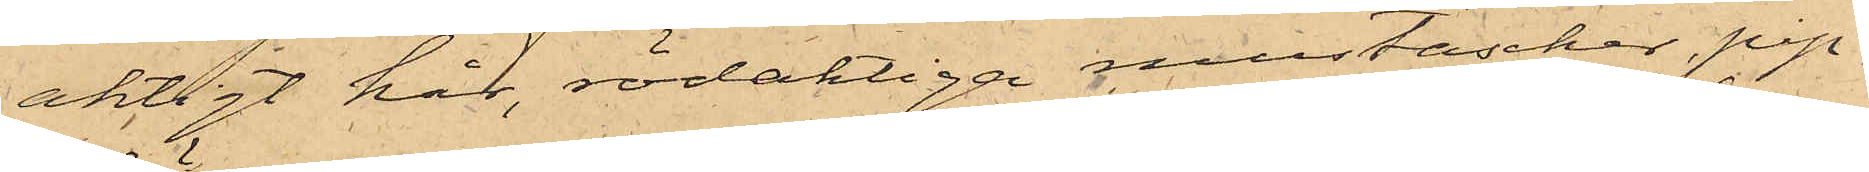aktigt hår, rödaktiga mustascher, pip¬
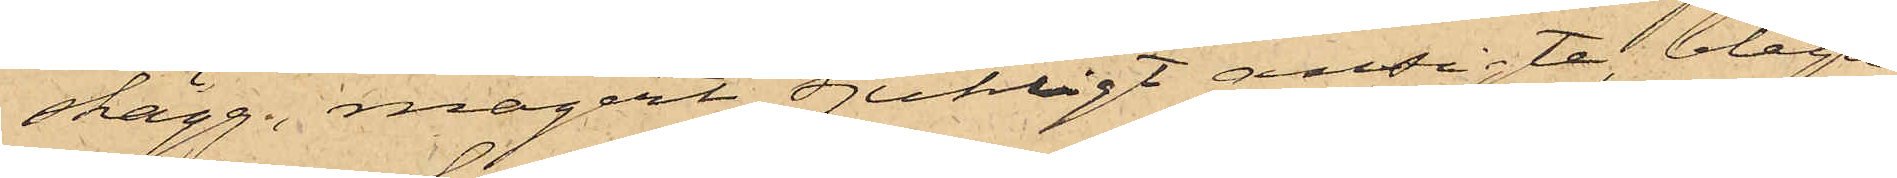skägg, magert sjukligt ansigte, blågre¬
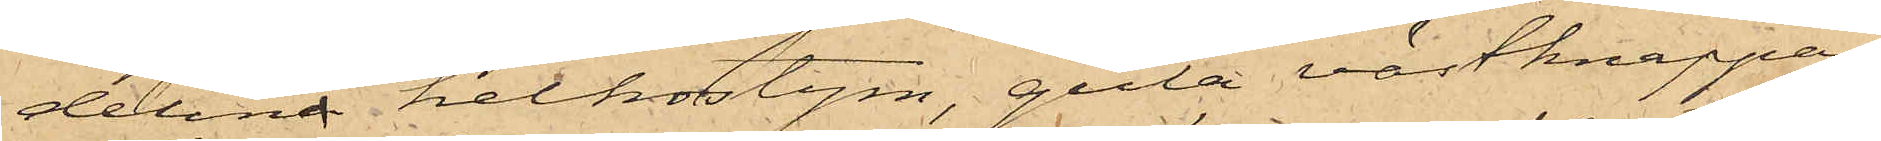delina helkostym, gula västknappar,
